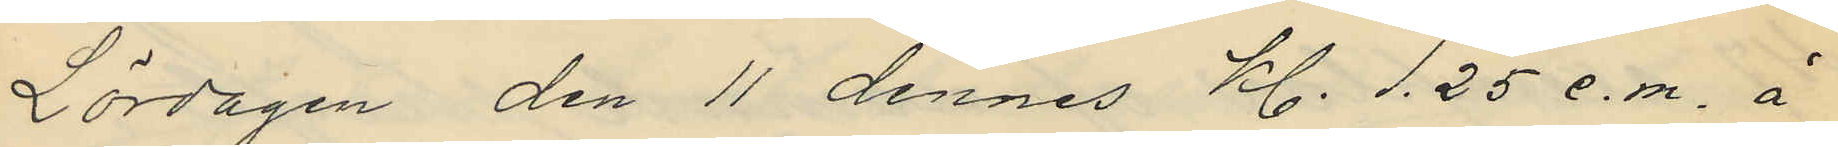Lördagen den 11 dennes kl. 1.25 e.m. å
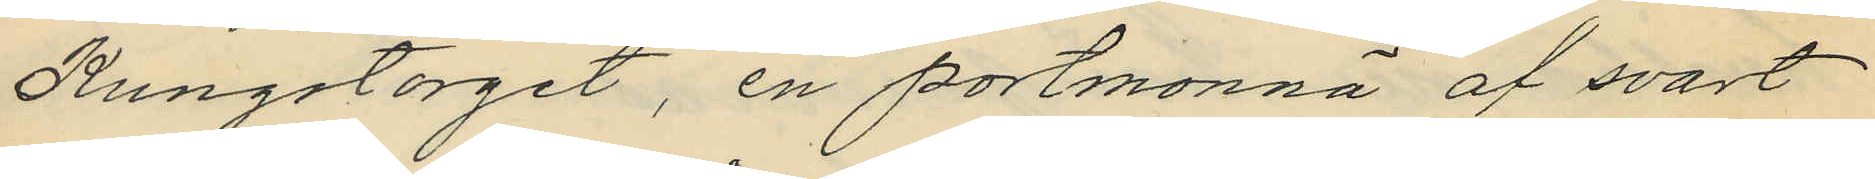Kungstorget, en portmonnä af svart
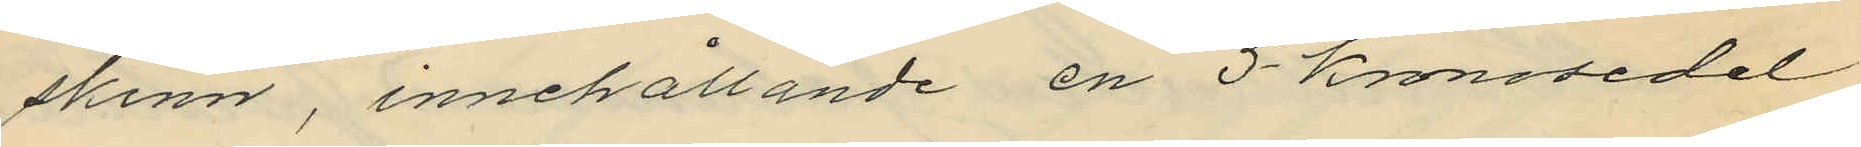skinn, innehållande en 5-kronosedel
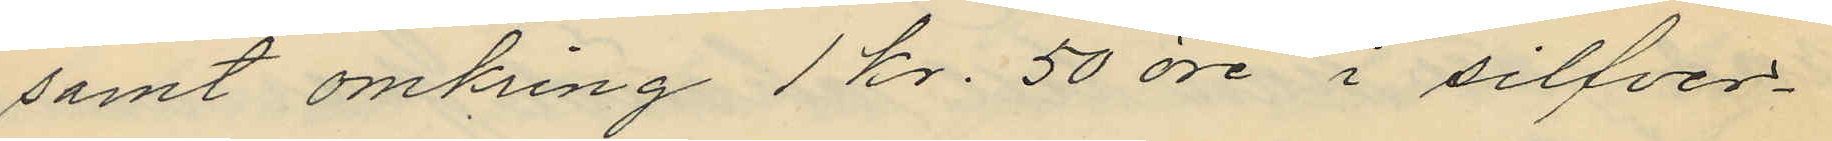samt omkring 1 kr. 50 öre i silfver¬
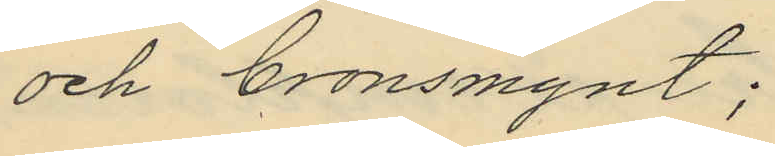och bronsmynt;
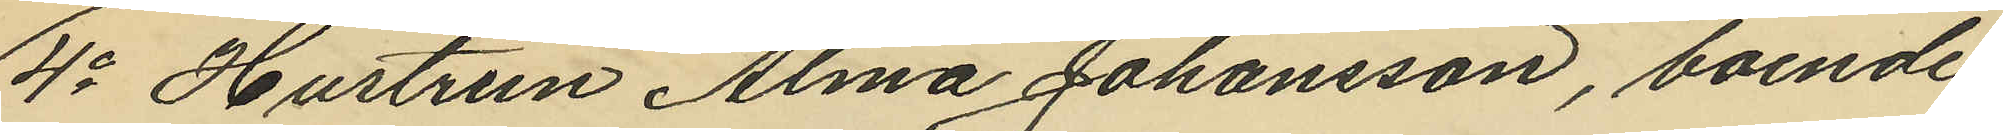4o Hustrun Alma Johansson, boende
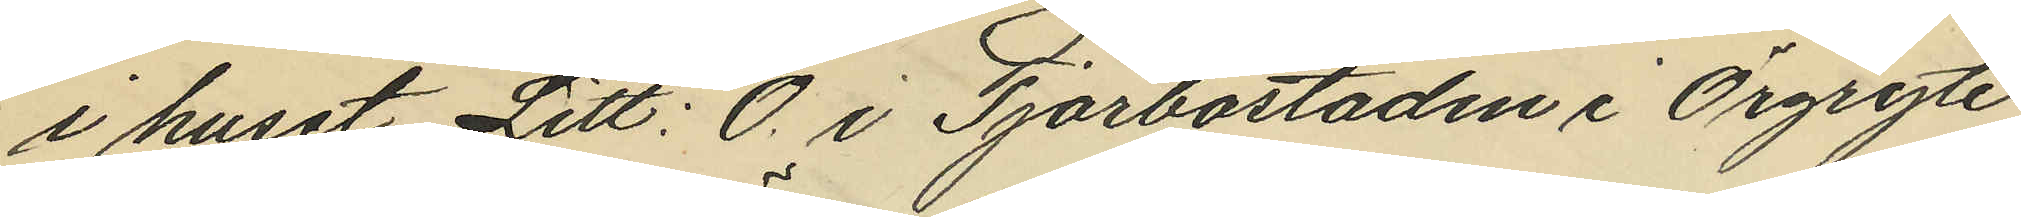i huset Litt: O. i Tjörbostaden i Örgryte
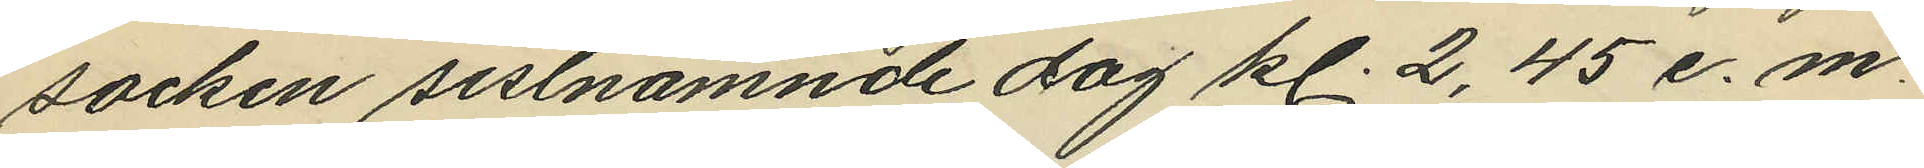socken sistnämnde dag kl. 2,45 e.m.
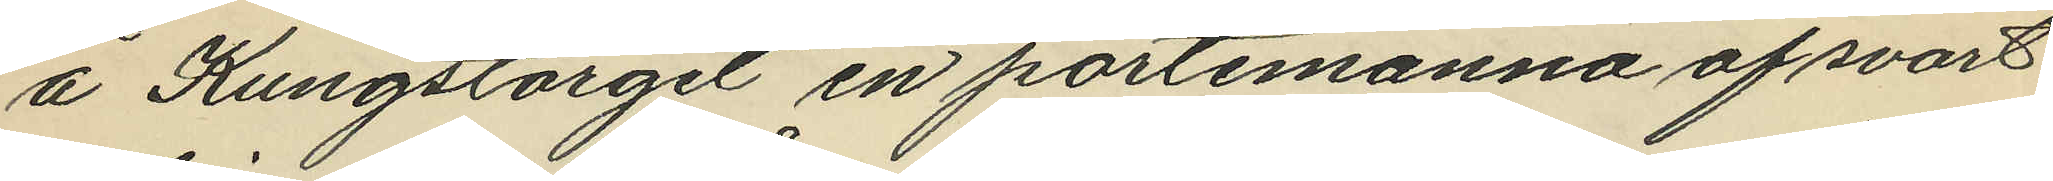å Kungstorget en portemonnä af svart
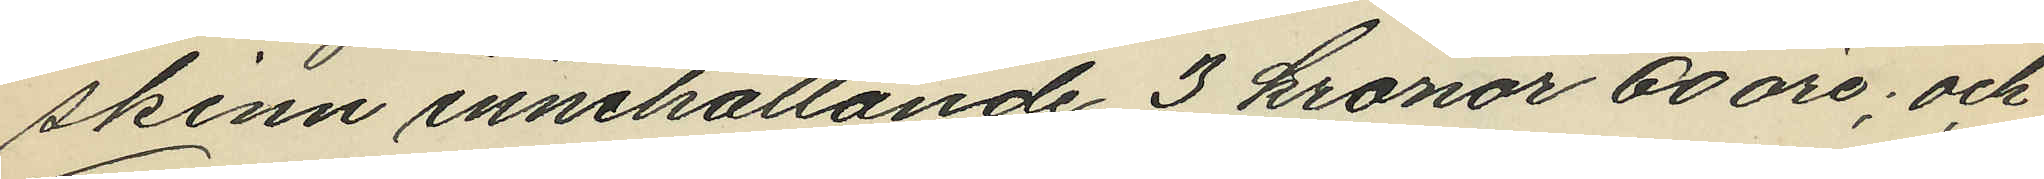skinn innehållande 3 kronor 60 öre; och
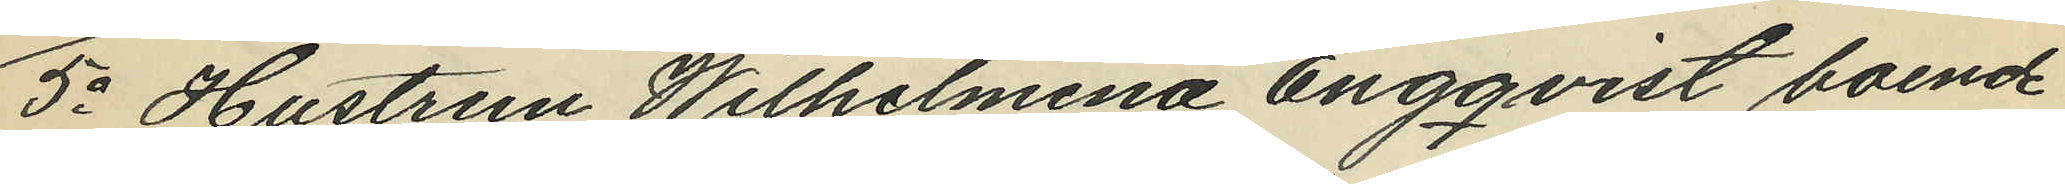5o Hustrun Wilhelmina Engqvist boende
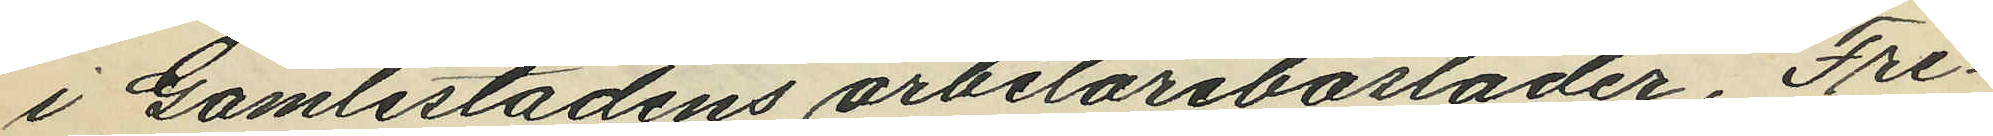i Gamlestadens arbetarebostader, Fre¬
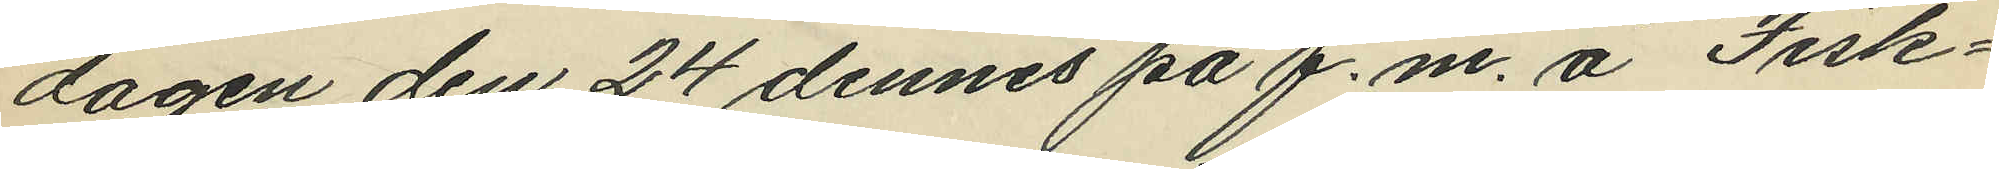dagen den 24 dennes på f.m. å Fisk¬
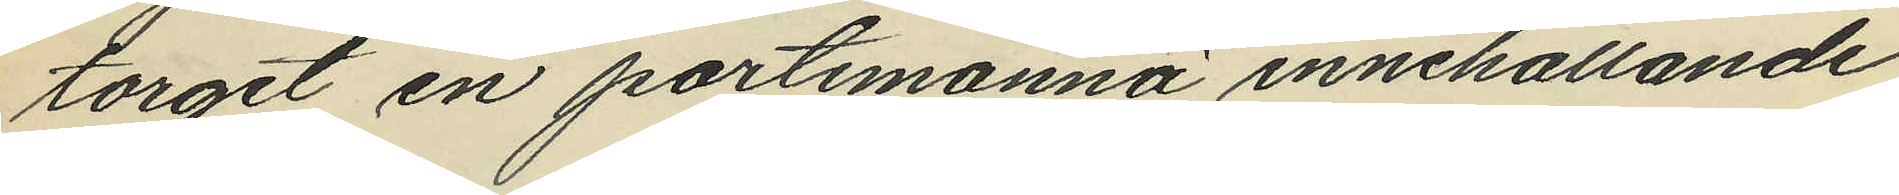torget en portmonnä innehållande
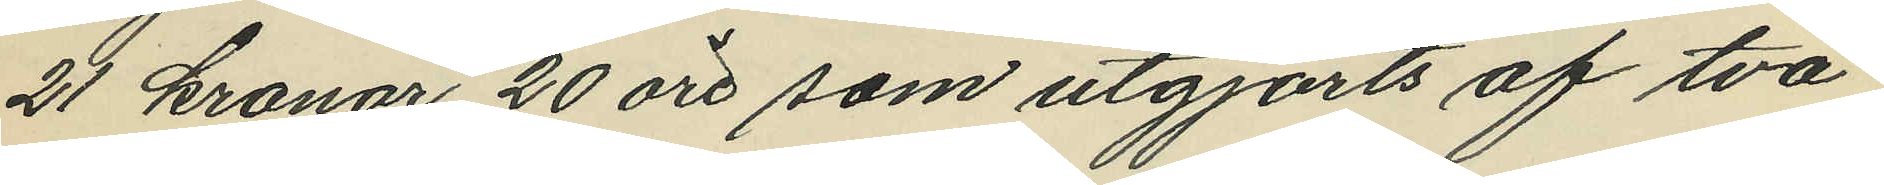21 kronor 20 öre som utgjorts af två
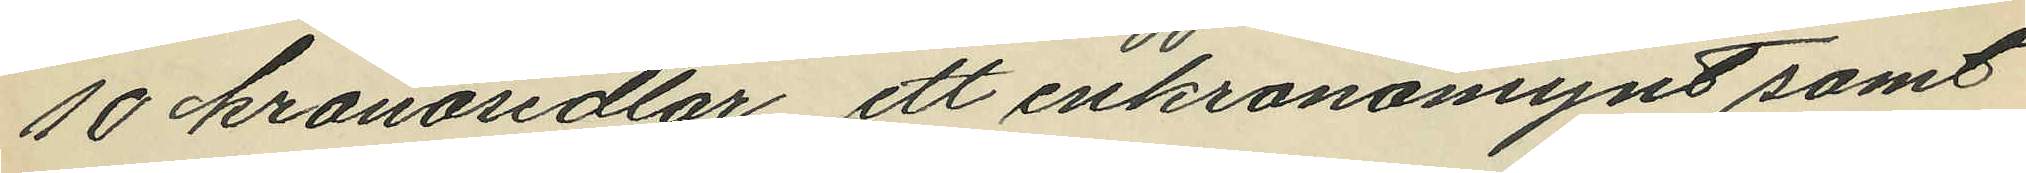10 kronosedlar ett enkronomynt samt
